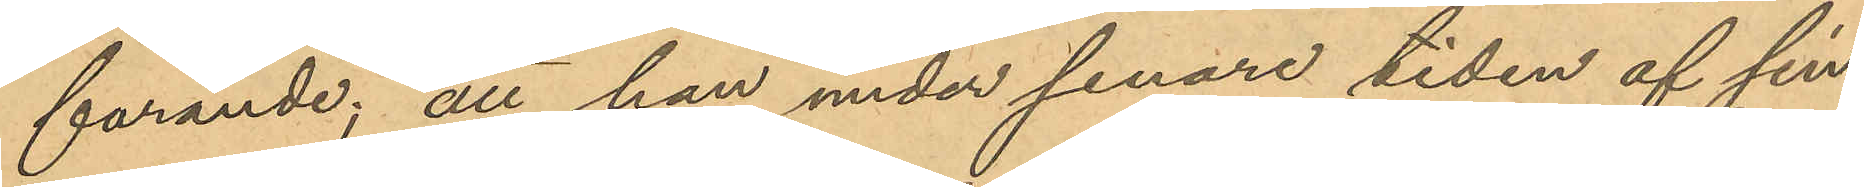farande; att han under senare tiden af sin
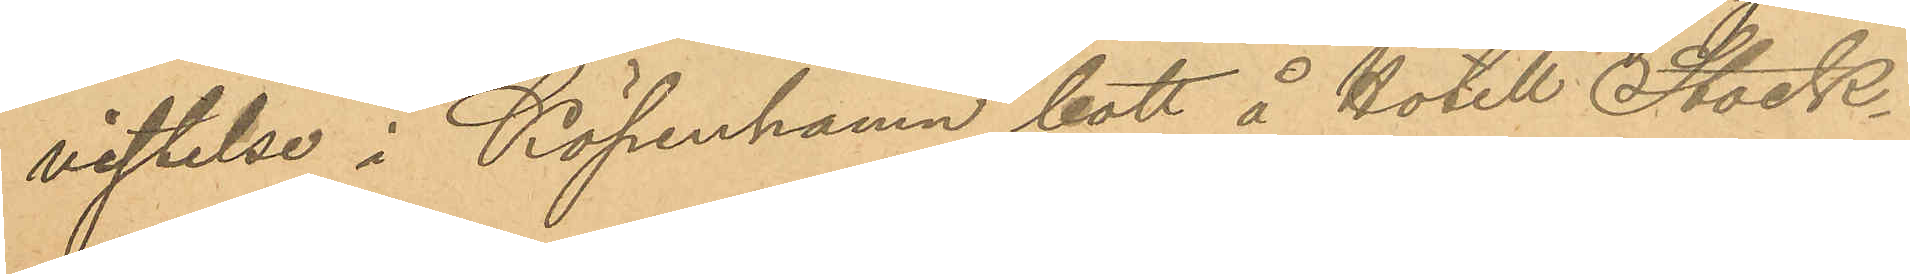vistelse i Köpenhamn bott å Hotell Stock¬
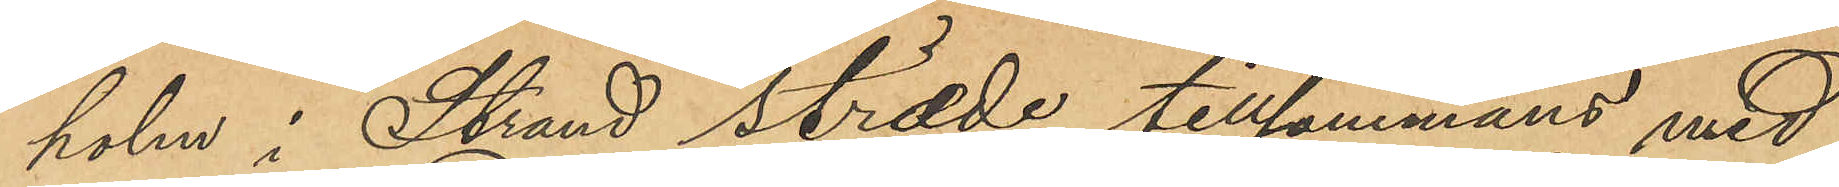holm i Strand stræde tillsammans med
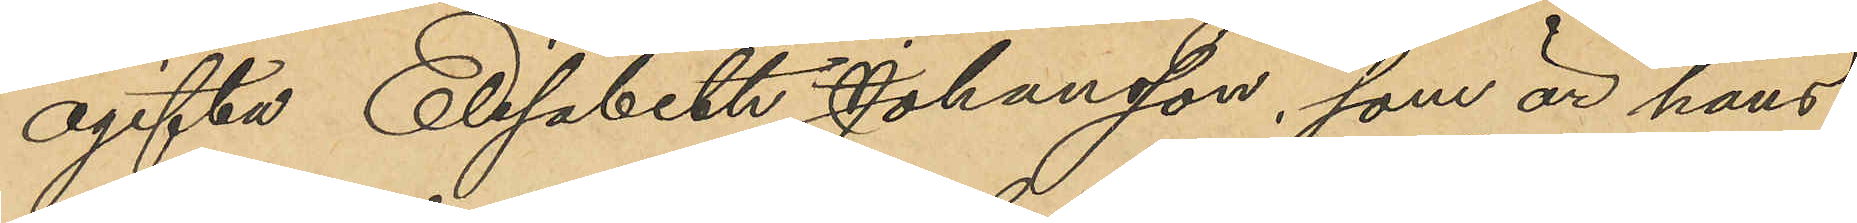ogifta Elisabeth Johansson, som är hans
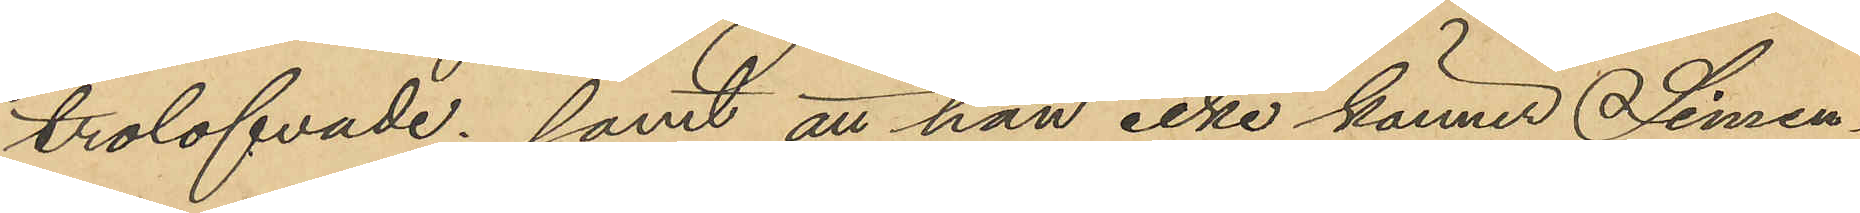trolofvade; samt att han icke känner Simon¬
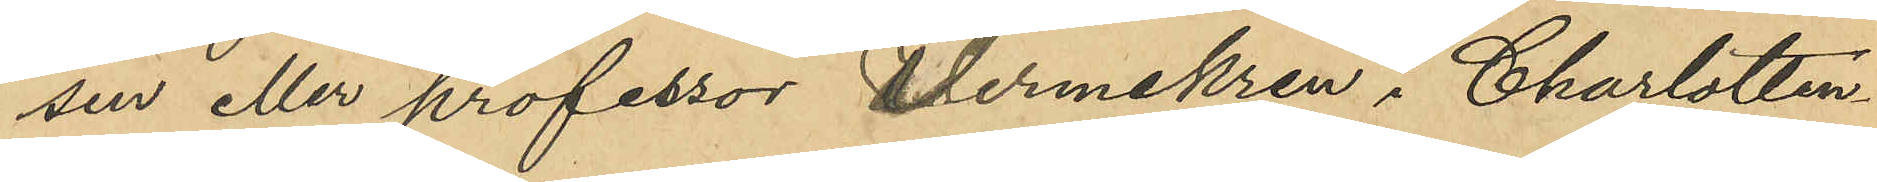sen eller professor Uermekren i Charlotten¬
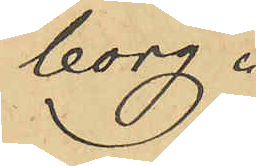borg.
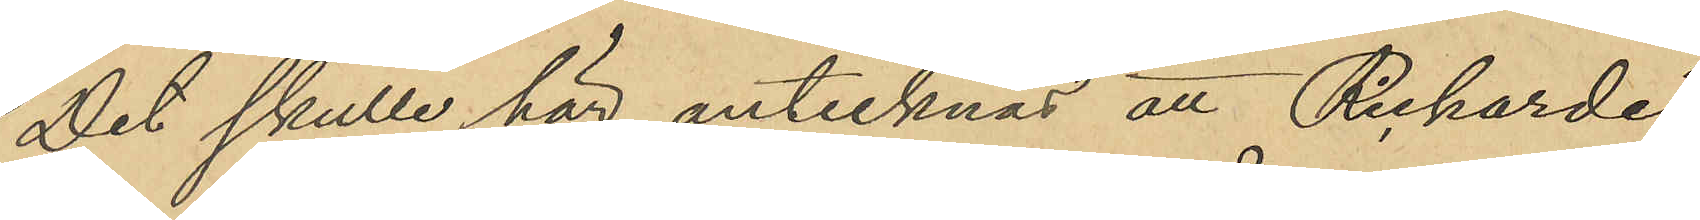Det skulle här antecknas att Richarde,
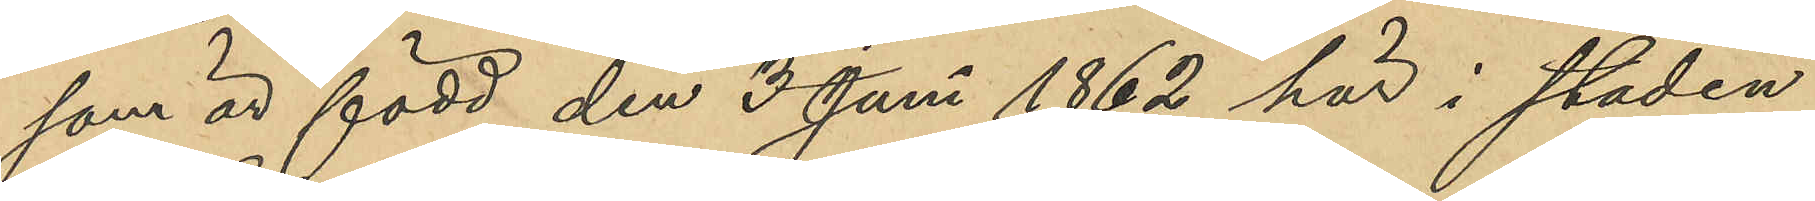som är född den 3 Juni 1862 här i staden,
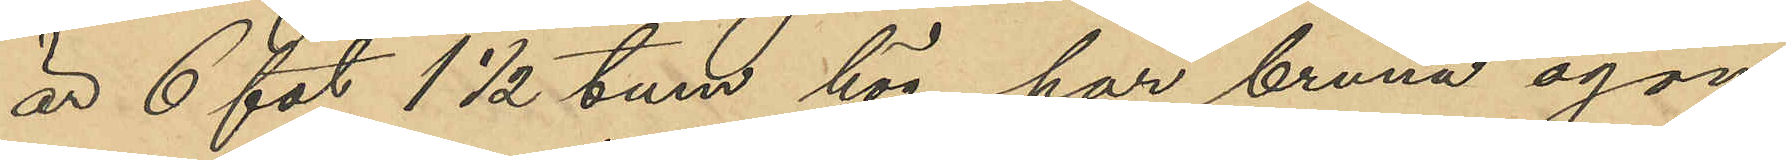är 6 fot 1½ tum hög, har bruna ögon,
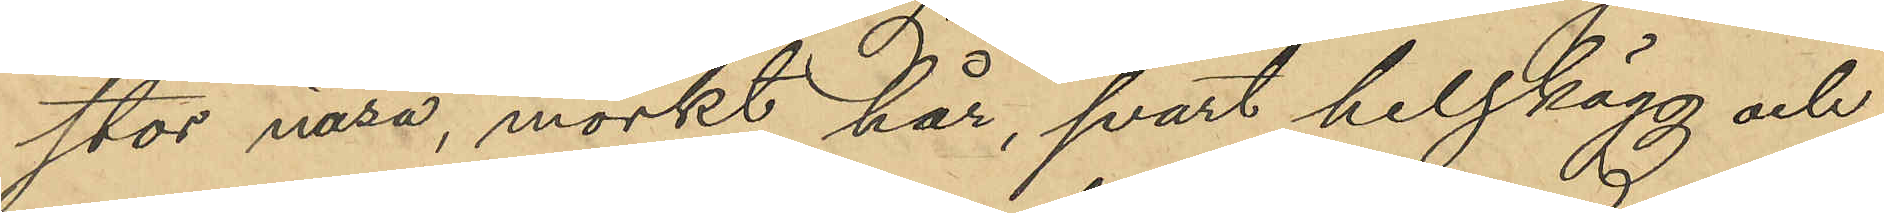stor näsa, mörkt hår, svart helskägg och
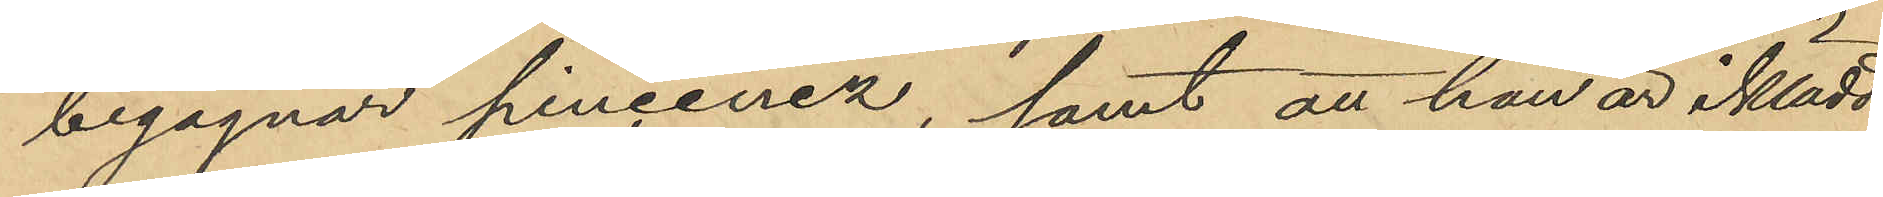begagnar pincenez, samt att han är iklädd
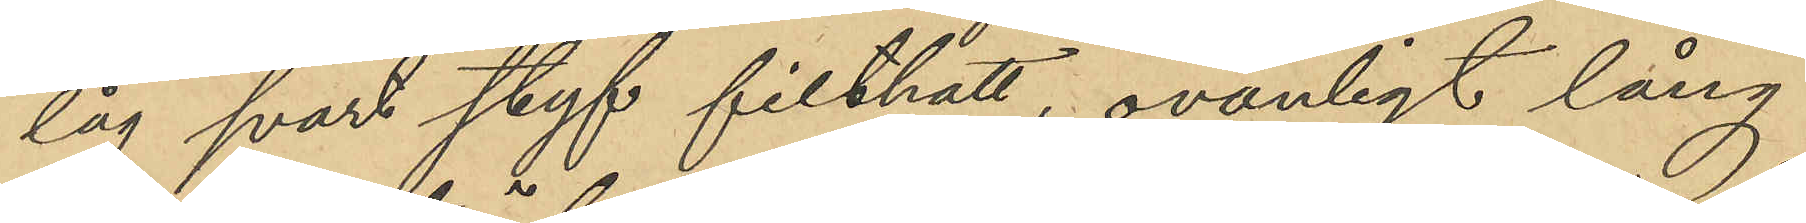låg svart styf filthatt, ovanligt lång
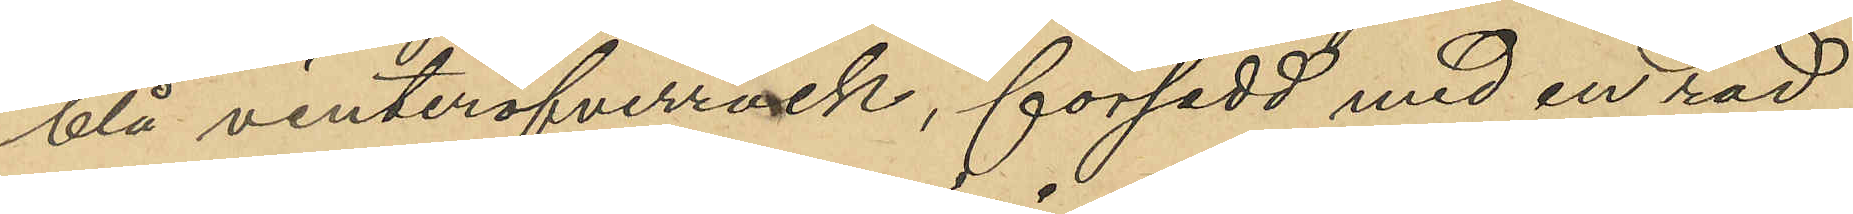blå vinteröfverrock, försedd med en rad
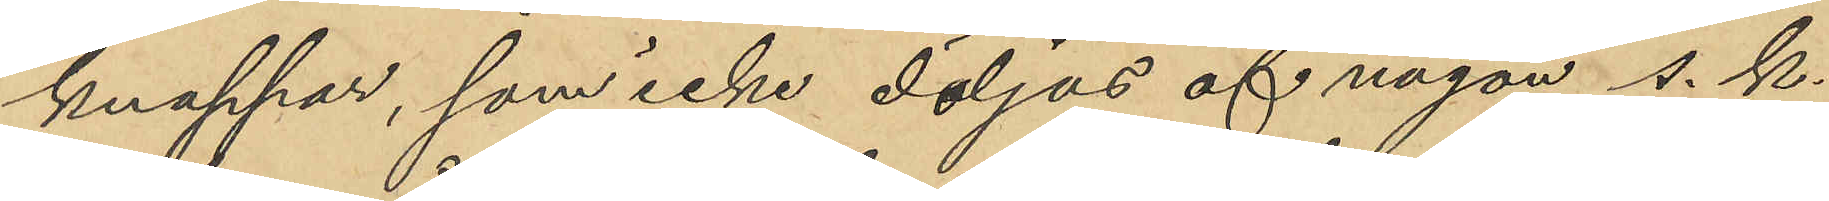knappar, som icke döljas af någon s. k.
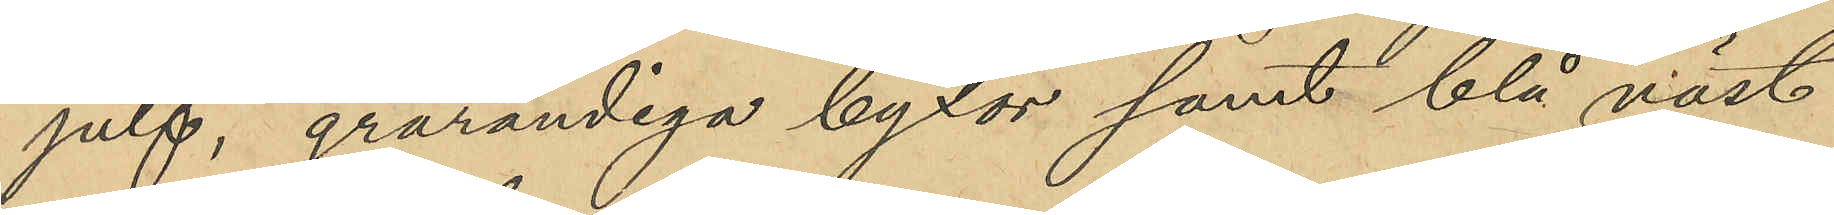julf, grårandiga byxor samt blå väst
